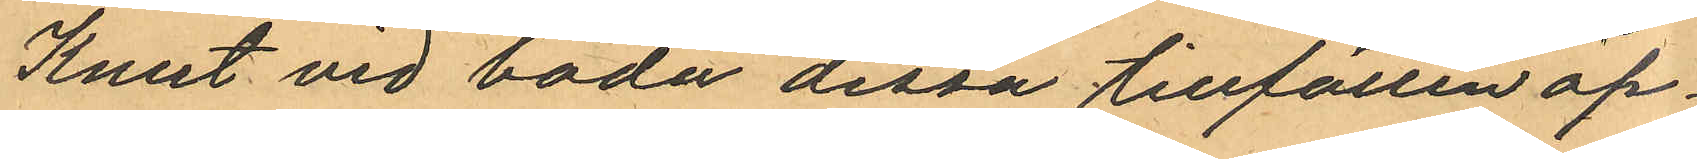Knut vid båda dessa tillfällen öp¬
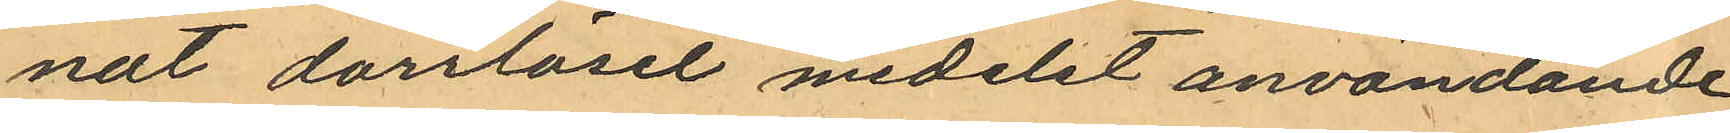nat dörrlåset medelst användande
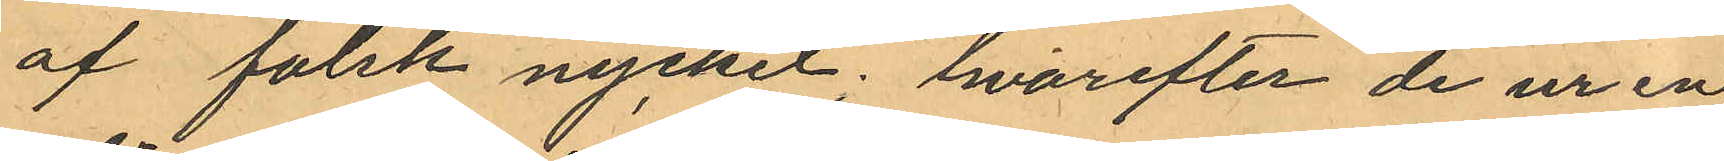af falsk nyckel; hvarefter de ur en
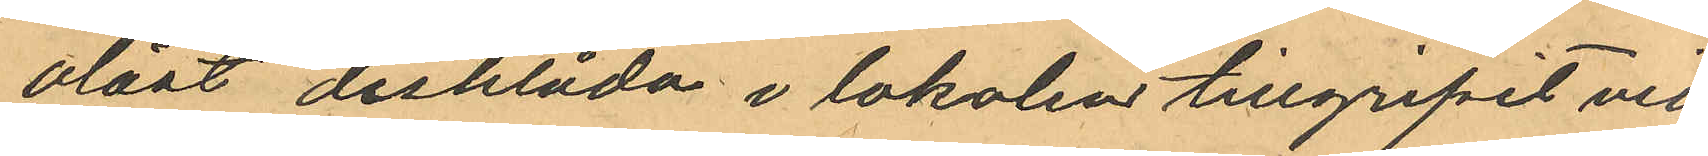olåst disklåda i lokalen tillgripit vid
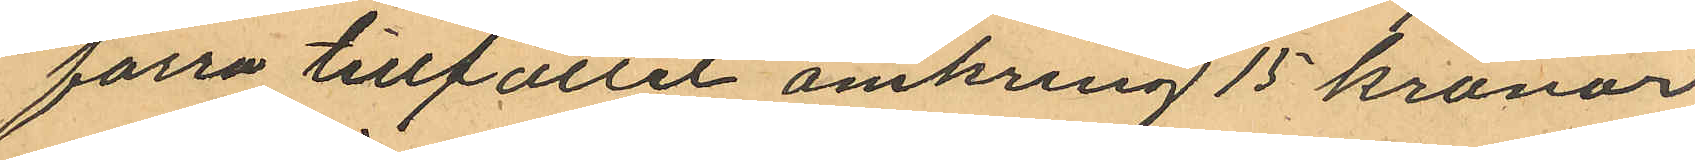förra tillfället omkring 15 kronor
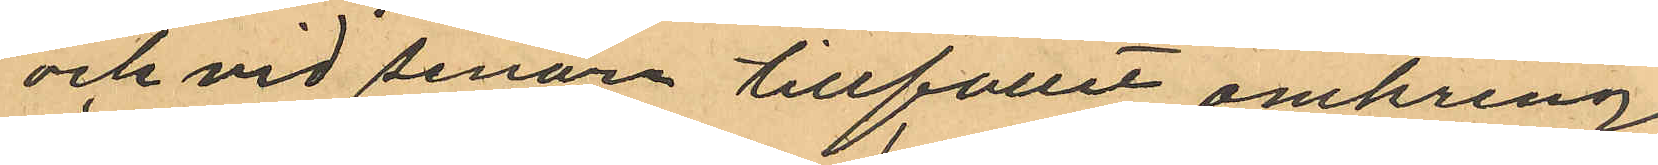och vid senare tillfället omkring
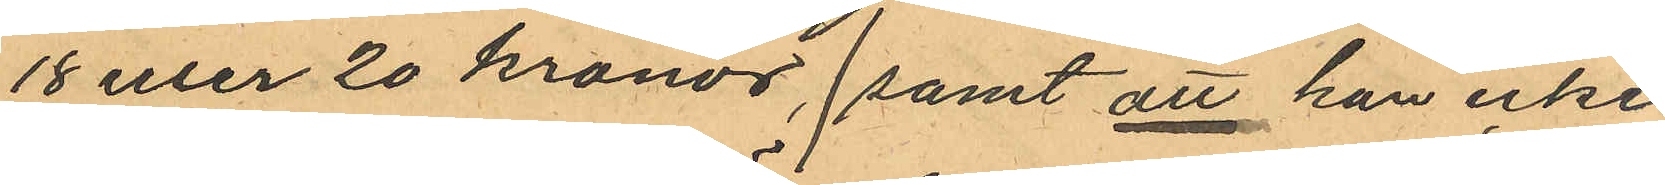18 eller 20 kronor, samt att han icke
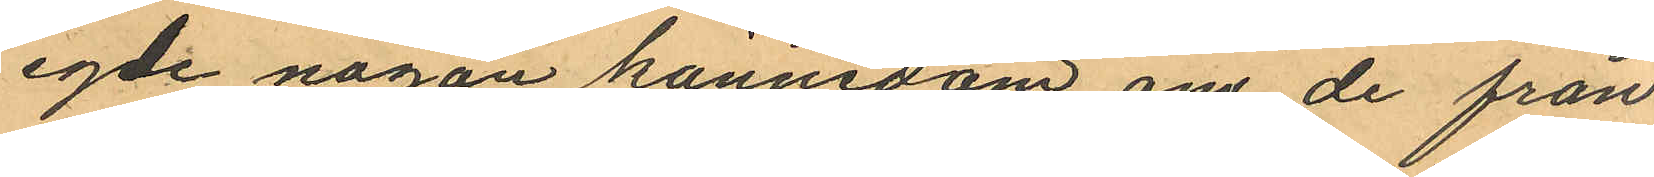egde någon kännedom om de från
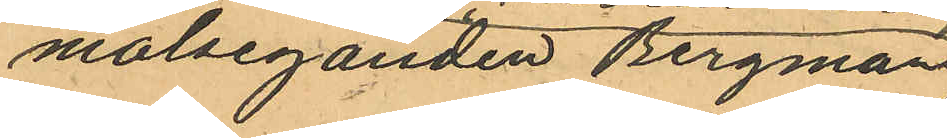målseganden Bergmans
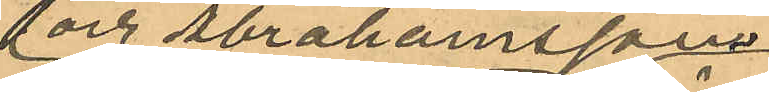och Abrahamssons
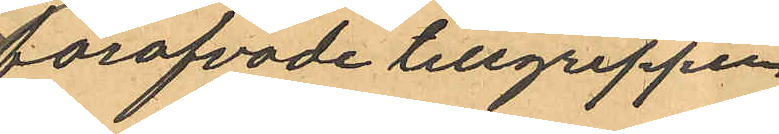föröfvade tillgreppen
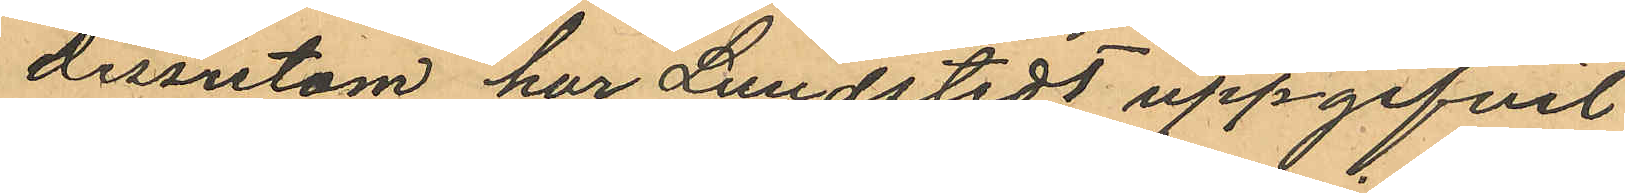dessutom har Lundstedt uppgifvit
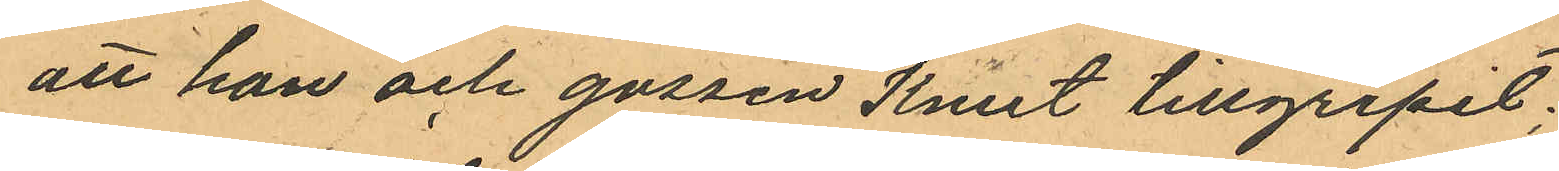att han och gossen Knut tillgripit:
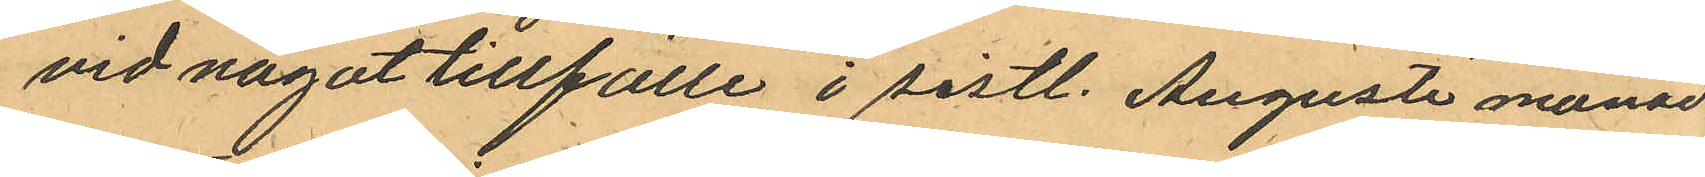vid något tillfälle i sistl. Augusti månad
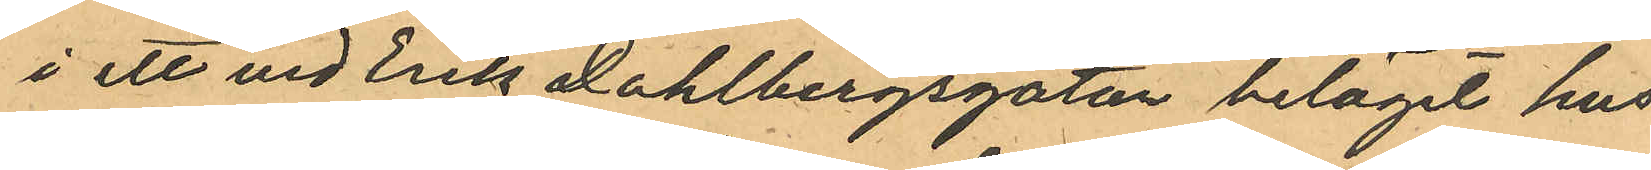i ett vid Erik Dahlbergsgatan beläget hus
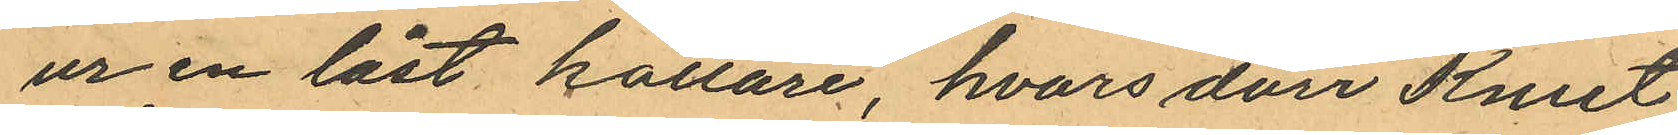ur en låst källare, hvars dörr Knut
